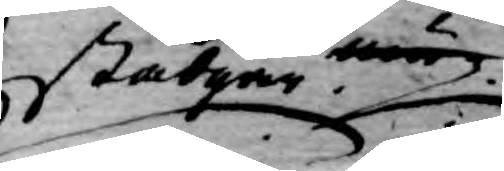stadgar när
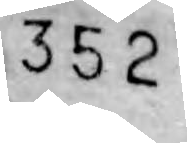352
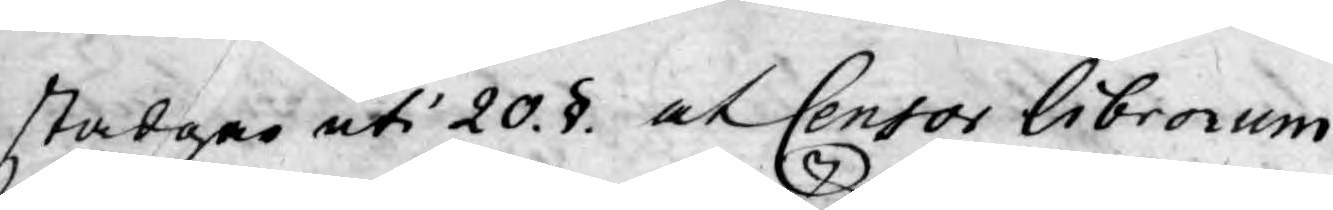stadgar uti 20. §. af Censor Librorum
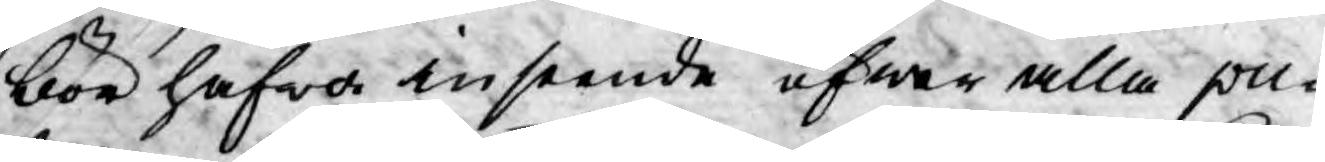bör hafwa inseende öfwer alla pu¬
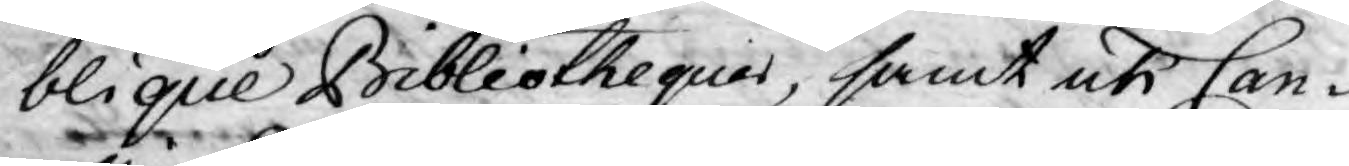blique Bibliotheques, samt uti Can¬
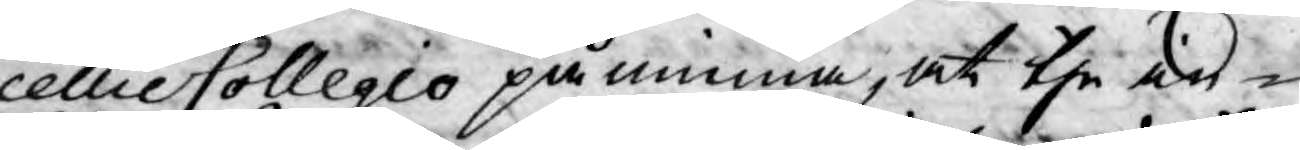cellie Collegio påminna, at the in¬
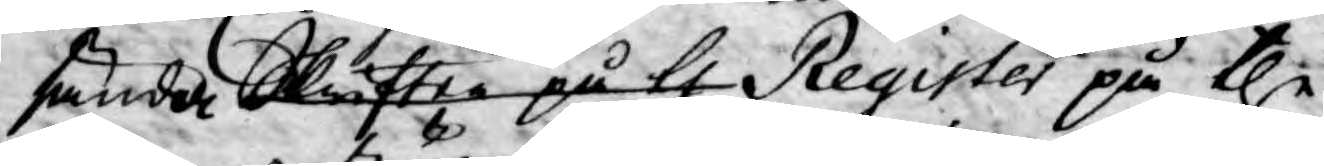sände skrifter på the Register på the
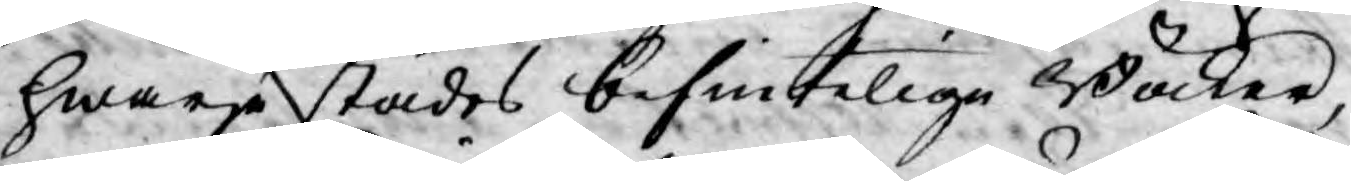hwarje städes befintelige Böcker,
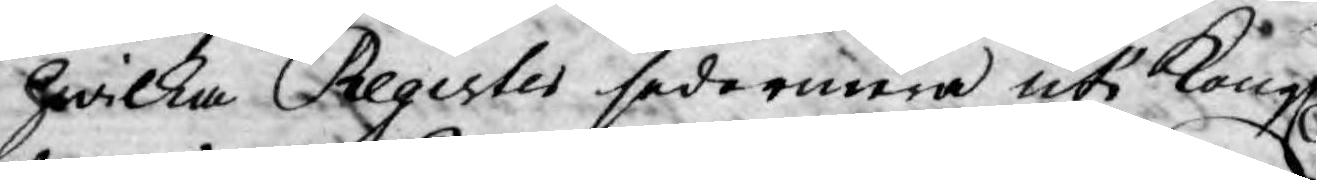hwilka Register sedermera uti Kongl.
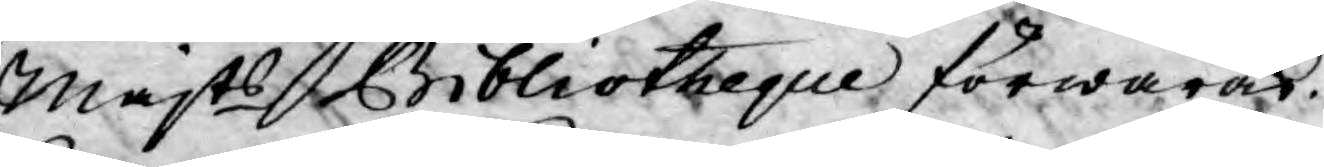Majts Bibliotheque förwaras.
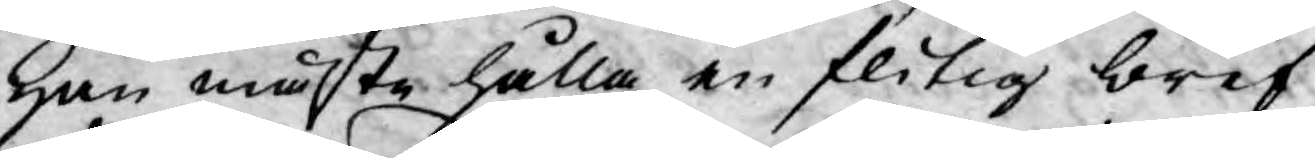Han måste hålla en flitig bref¬
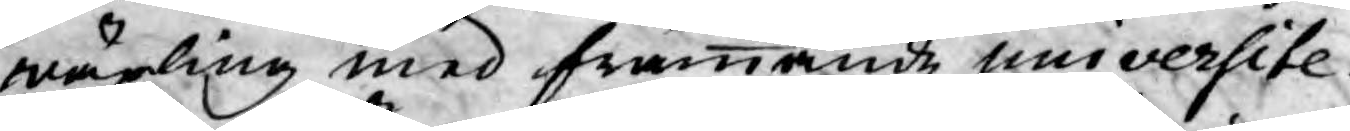wäxling med främmande universite¬
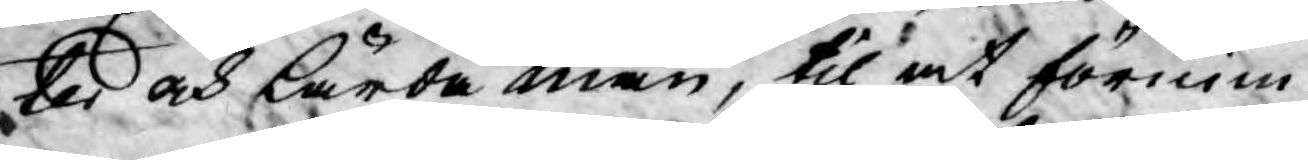ter och lärda män, til at förnim¬
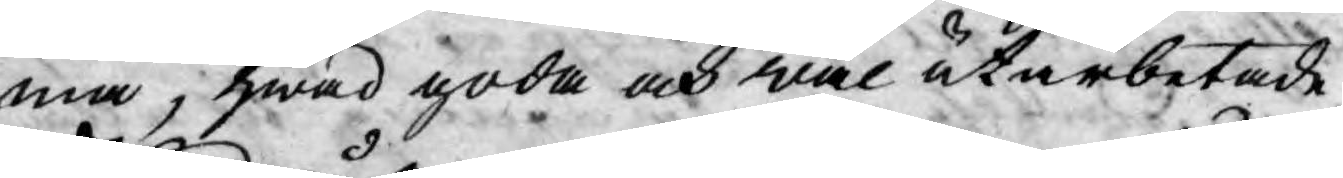ma; hwad goda och wäl utarbetade
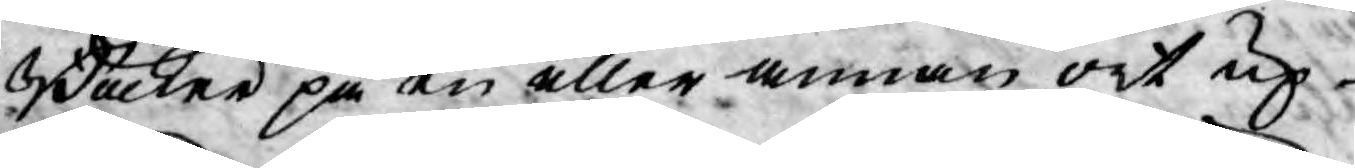Böcker på en eller annan ort up¬
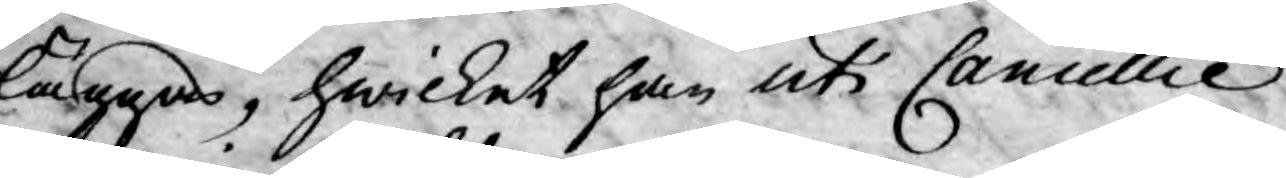läggas, hwilket han uti Cancellie
